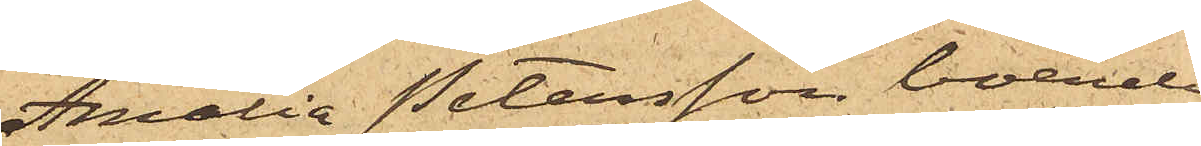Amalia Petersson, boende
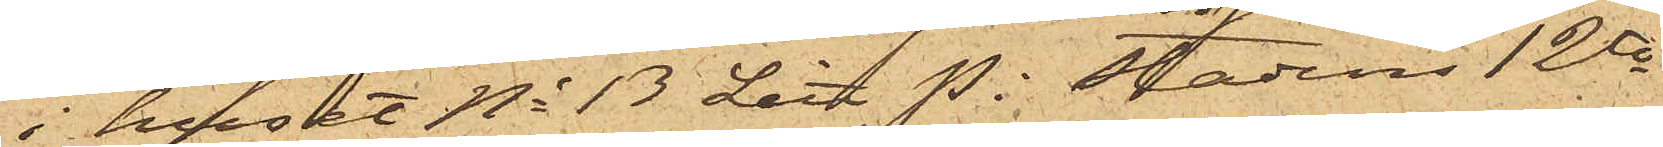i huset No 13 Litt P  i stadens 12te
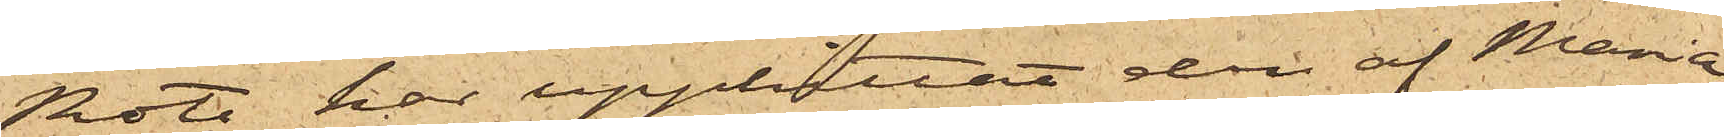Rote, har upphittat den af Maria
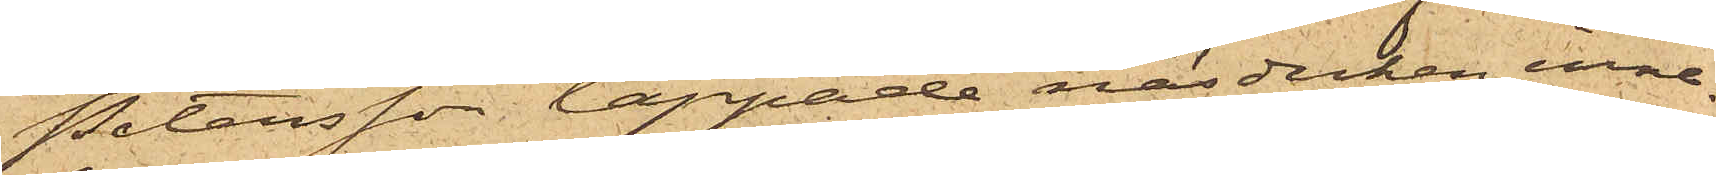Petersson tappade näsduken inne¬
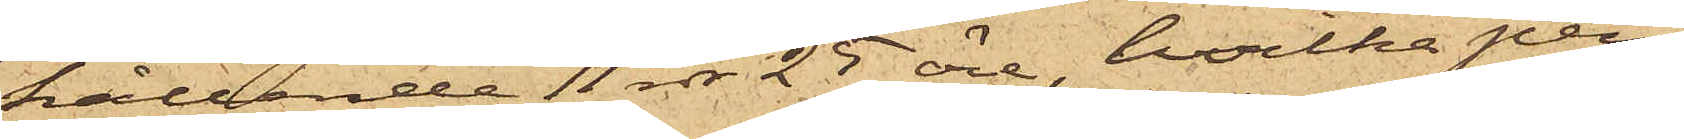hållande 11 rdr 25 öre, hvilka pen¬
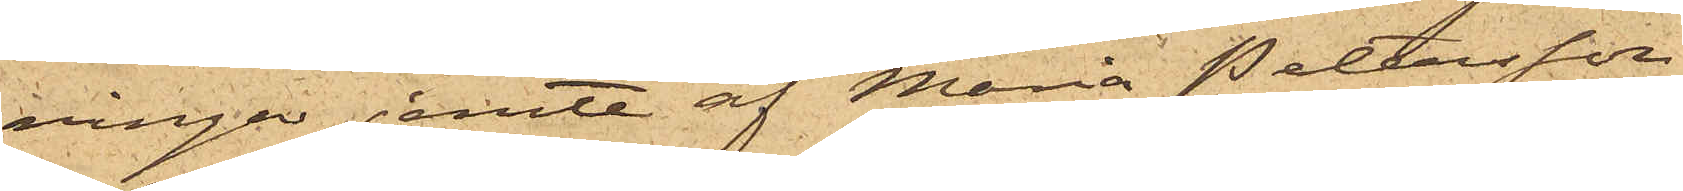ningar jemte af Maria Pettesson
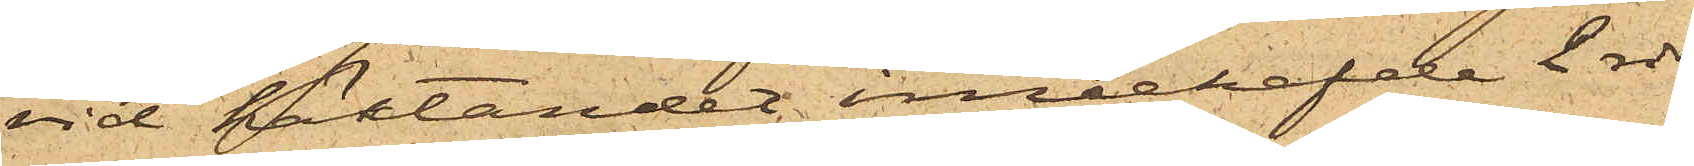vid häktandet innehafde 2 rdr
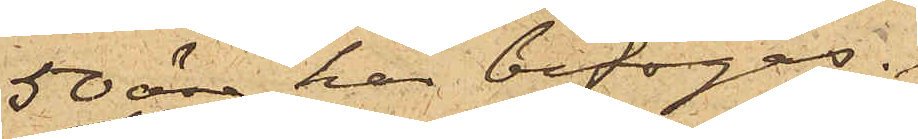50 öre här bifogas.
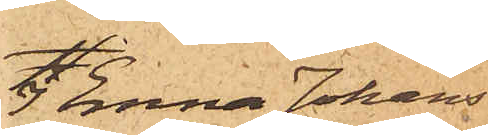I Emma Johans¬
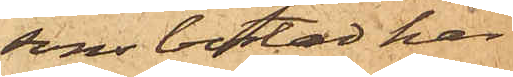sons bostad har
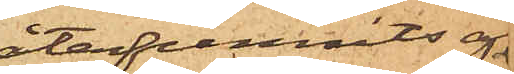återfunnits af
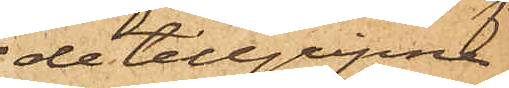de tillgripne
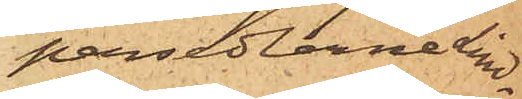persedlarne Lind¬
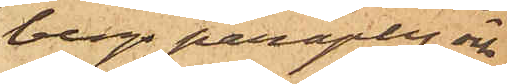bergs paraply och
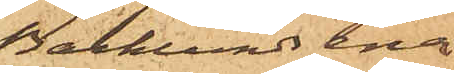Backlunds ena
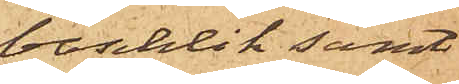baschlik samt
